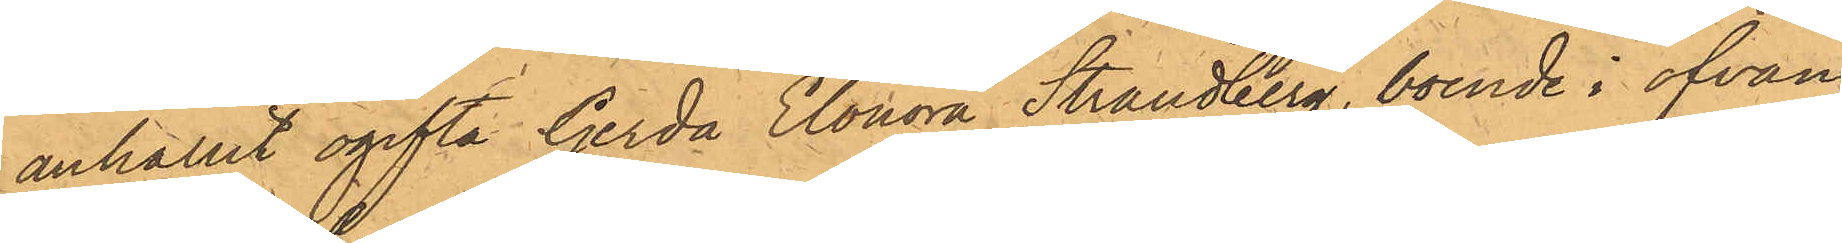anhållit ogifta Gerda Elonora Strandberg, boende i ofvan¬
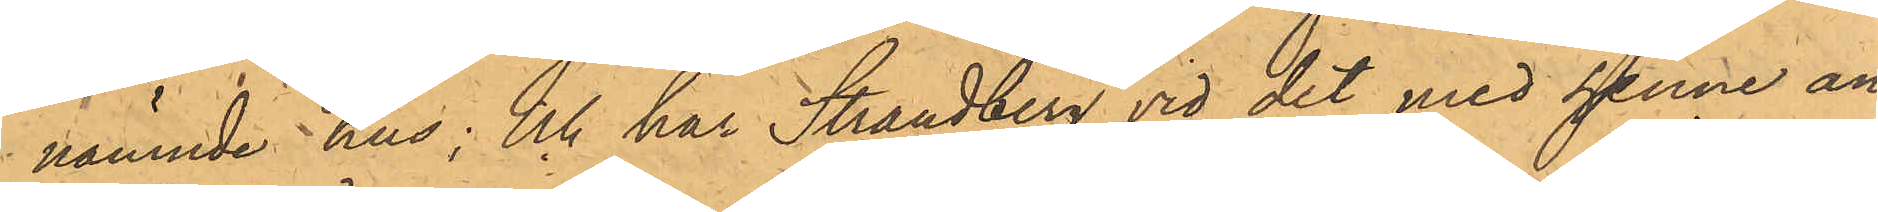nämnde hus; och har Strandberg vid det med henne an¬
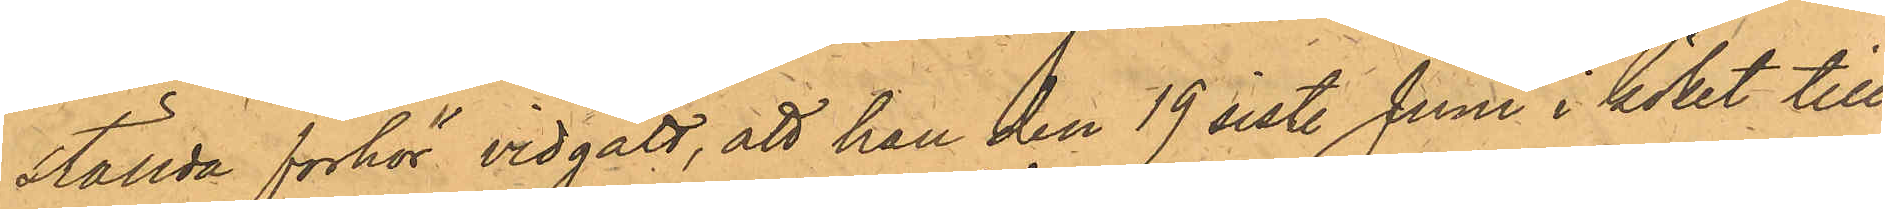ställda förhör vidgått, att hon den 19 sist. Juni i köket till
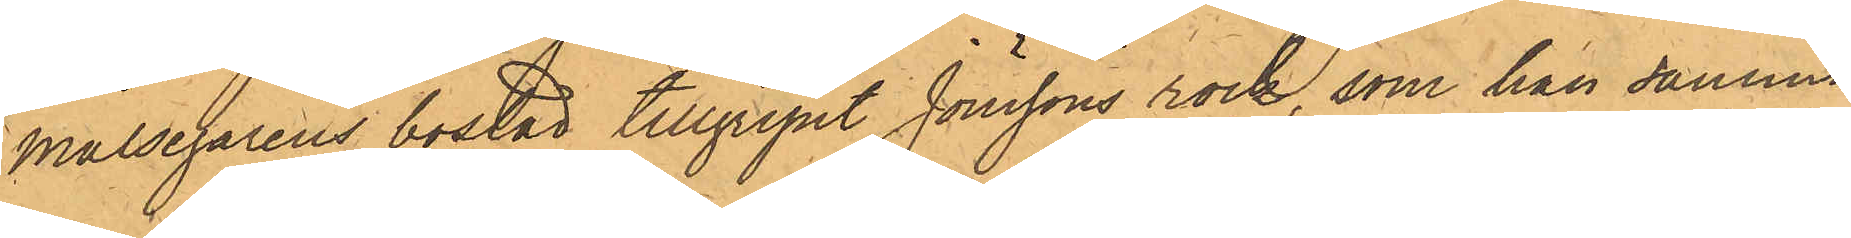Målsegarens bostad tillgripit Jönssons rock, som han samma
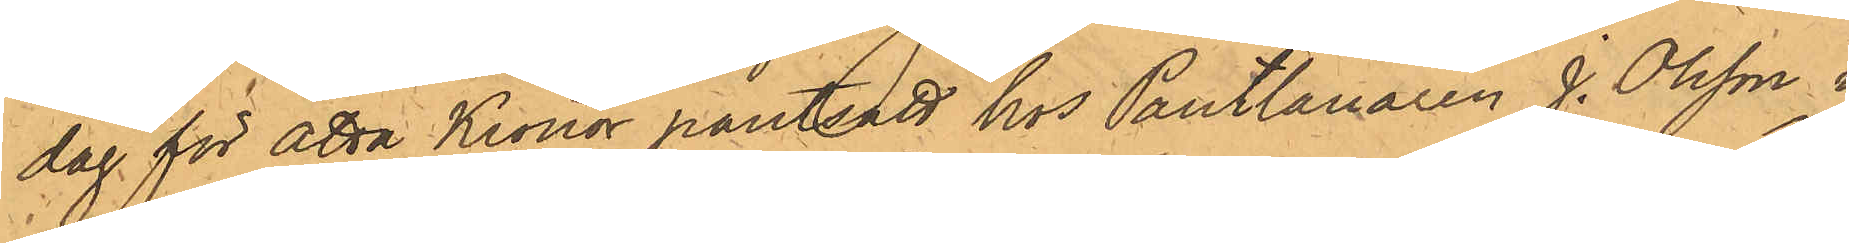dag för åtta Kronor pantsatt hos Pantlånaren J. Olsson i
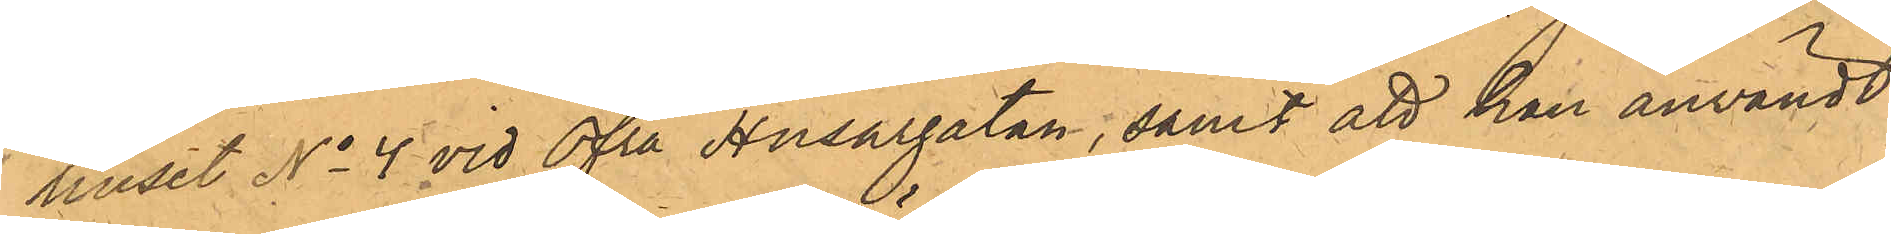huset No 4 vid Öfra Husargatan; samt att han användt
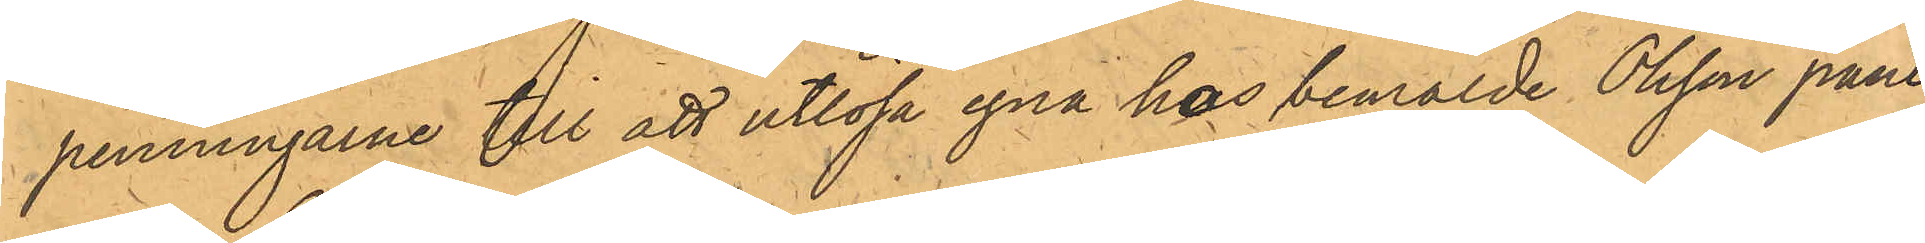penningarne till att utlösa egna hos bemälde Olsson pant¬
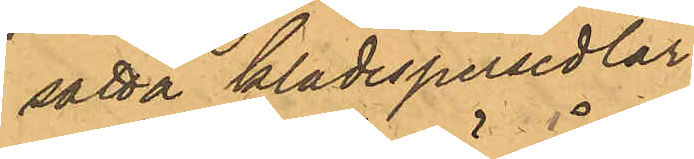satta klädespersedlar.
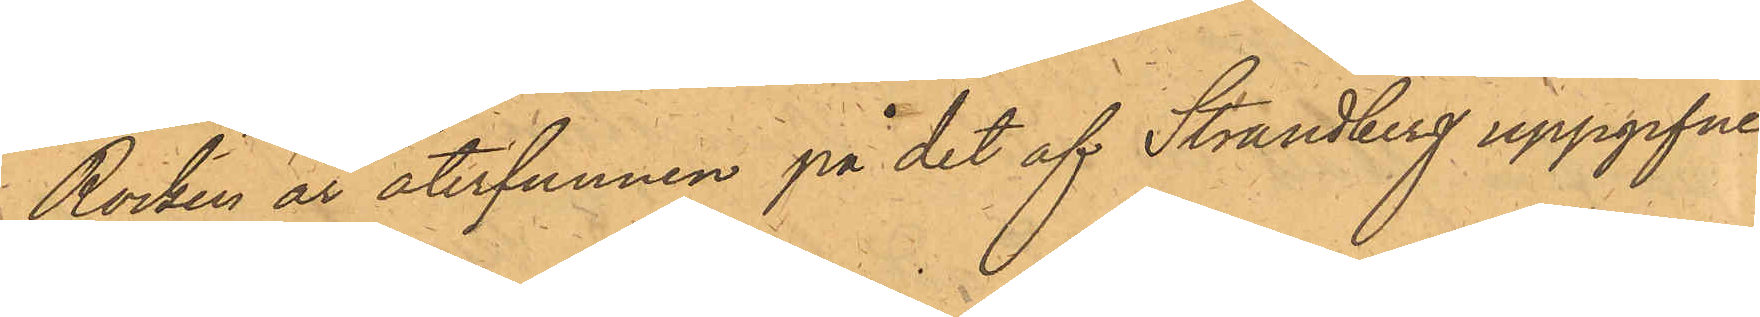Rocken är återfunnen på det af Strandberg uppgifne
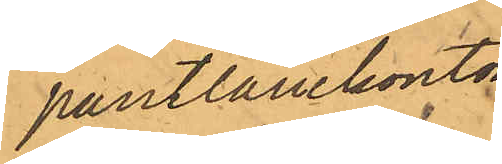pantlånekontor.
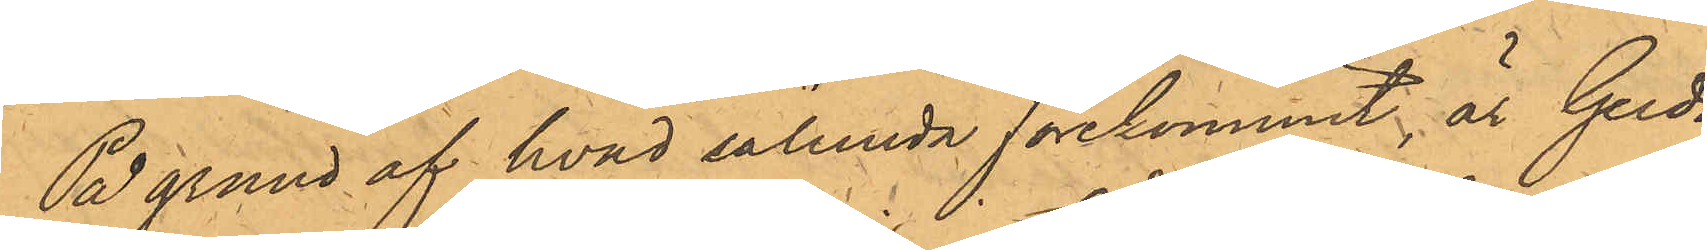På grund af hvad sålunda förekommit är Gerda
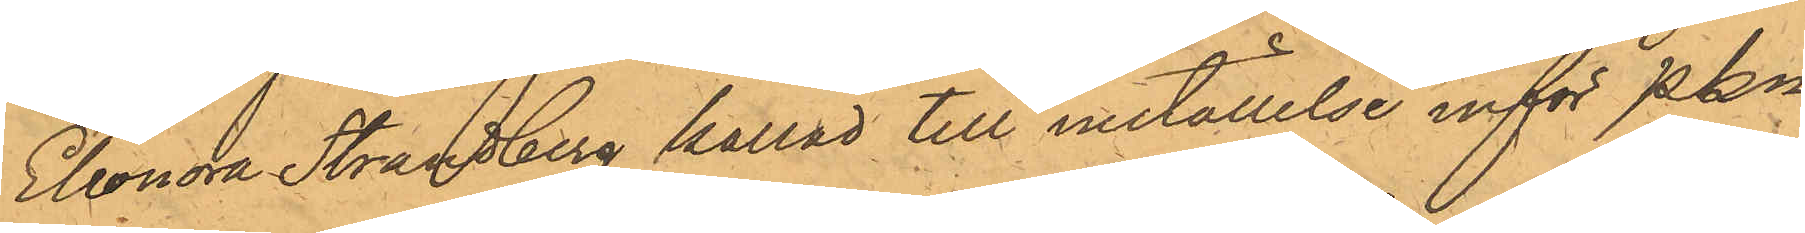Eleonra Strandberg kallad till inställelse inför PKn
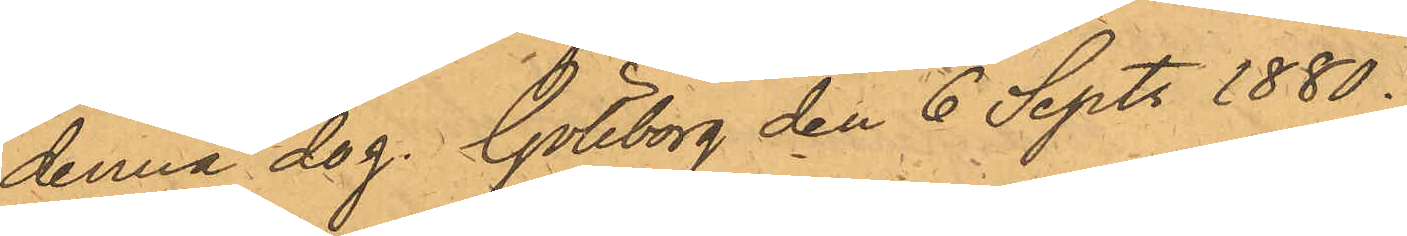denna dag. Göteborg den 6 Sept. 1880.
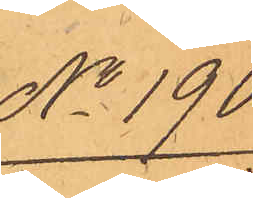No 190.
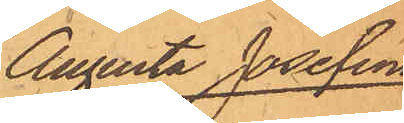Augusta Josefina
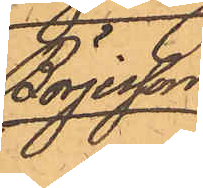Börjesson
